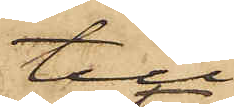till
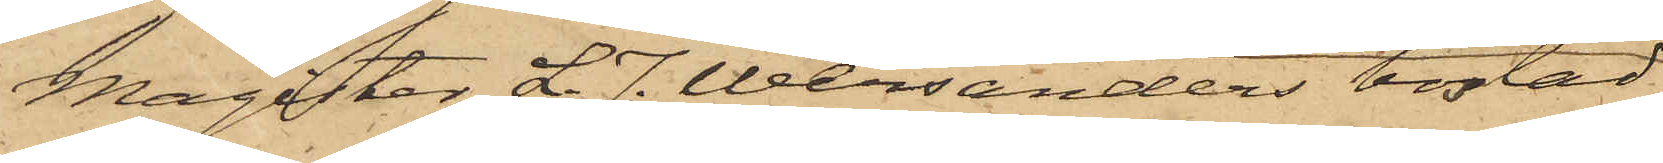Magister L. J. Wersanders bostad
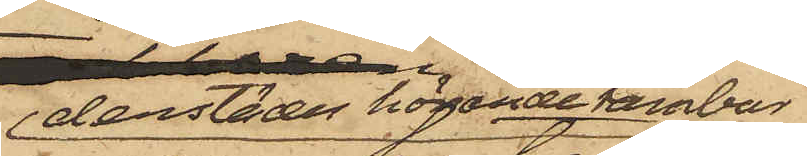derstädes hörande tambour,
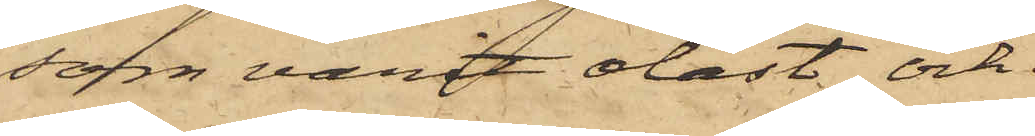som varit olåst och
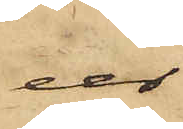ur
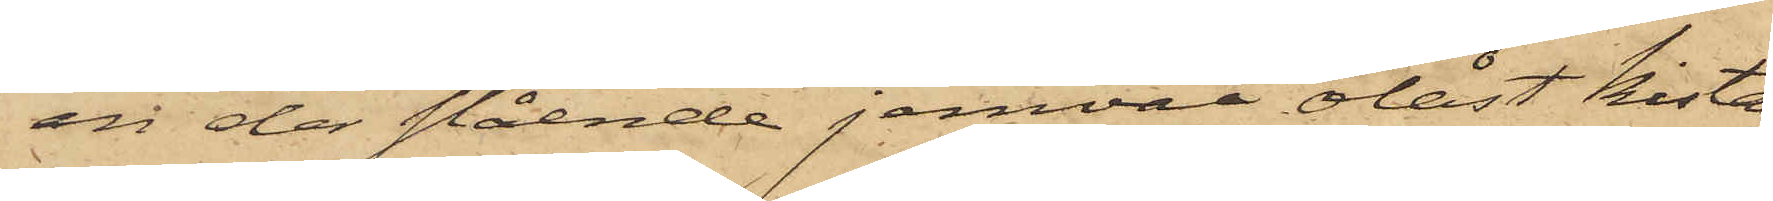en der stående jemväl olåst kista
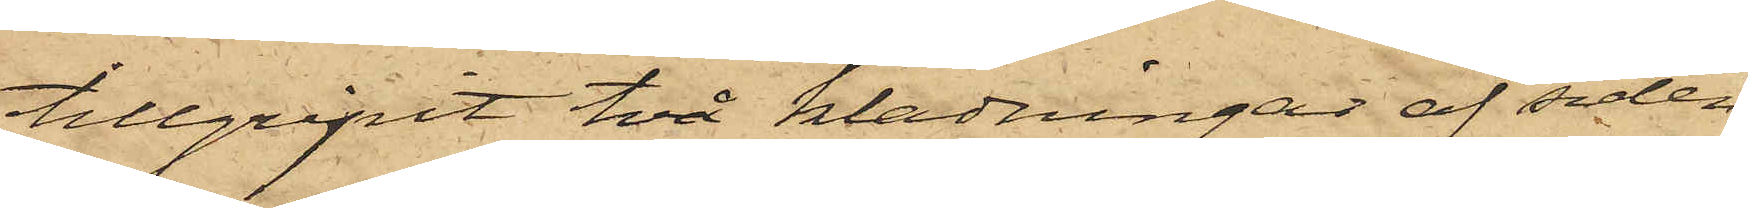tillgripit två klädningar af siden
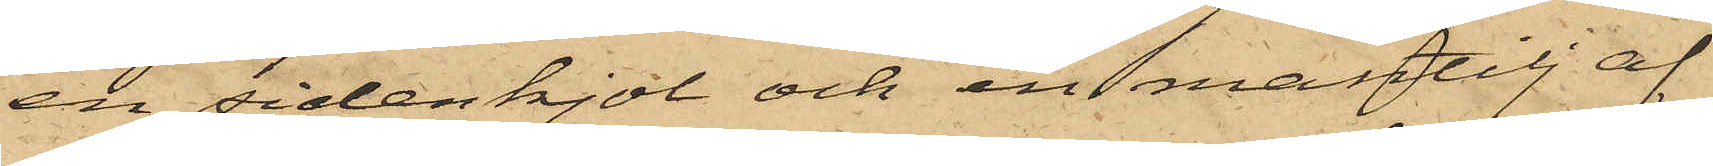en sidenkjol och en mantilj af
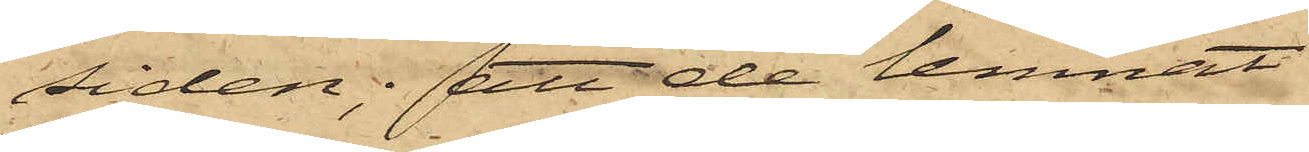siden; att de lemnat
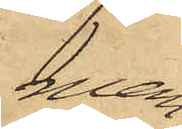man¬
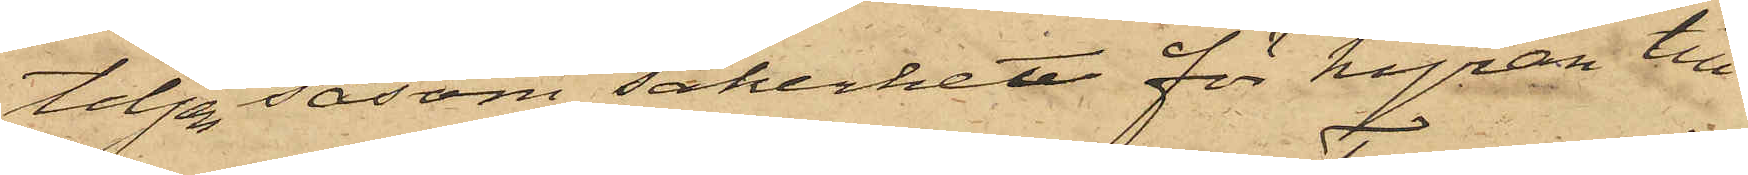tiljen såsom säkerhet för hyran till
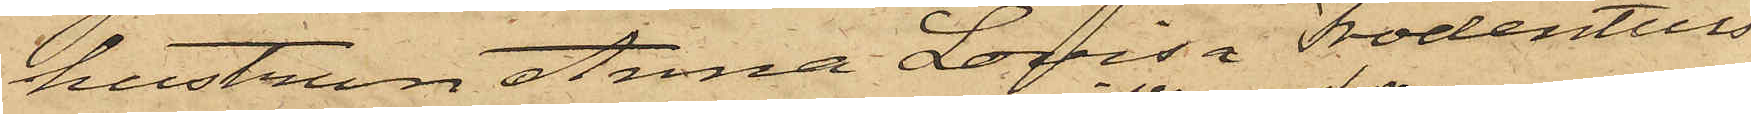hustrun Anna Lovisa Frodentius
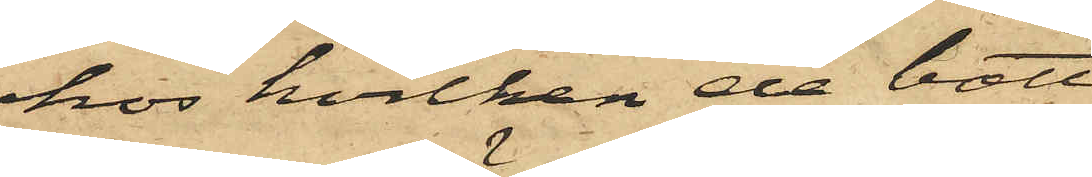hos hvilken de bott
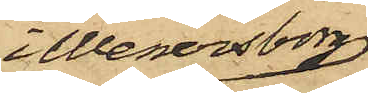i Wenersborg;
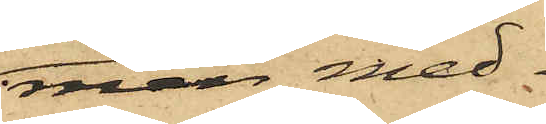men med¬
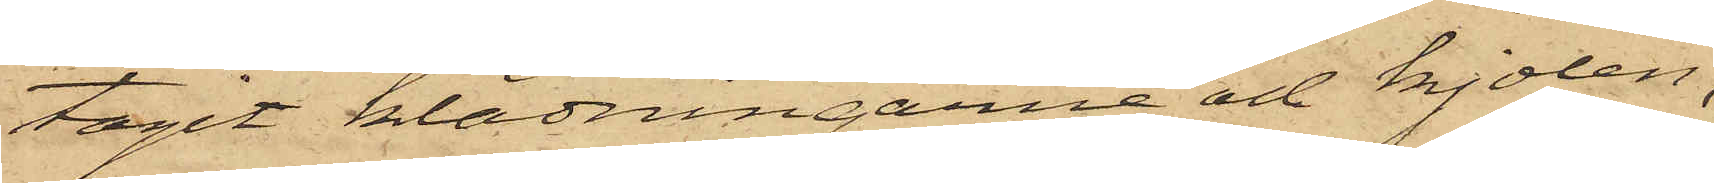tagit klädningarne och kjolen,
